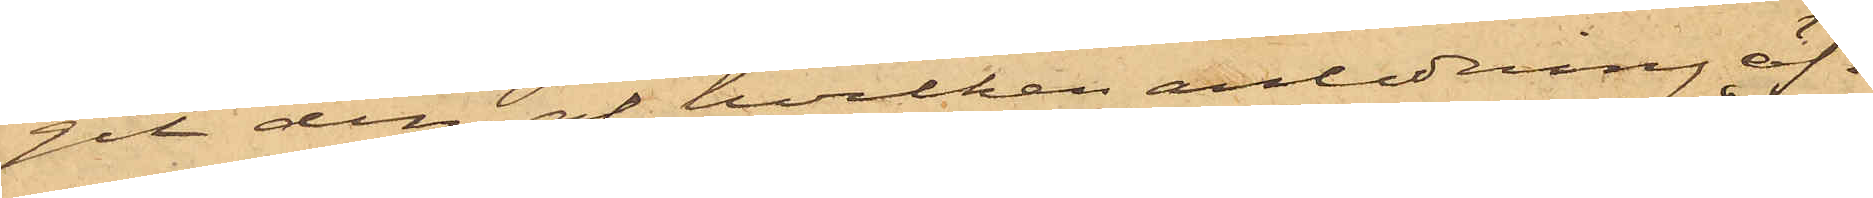git den, af hvilken anledning äf¬
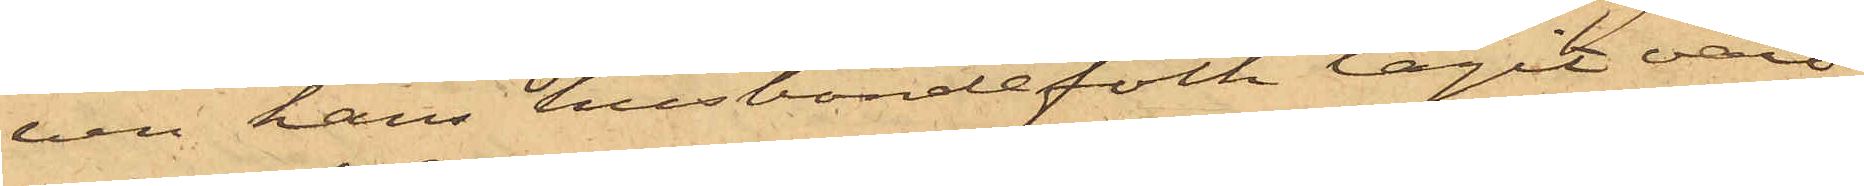ven hans husbondefolk tagit vård
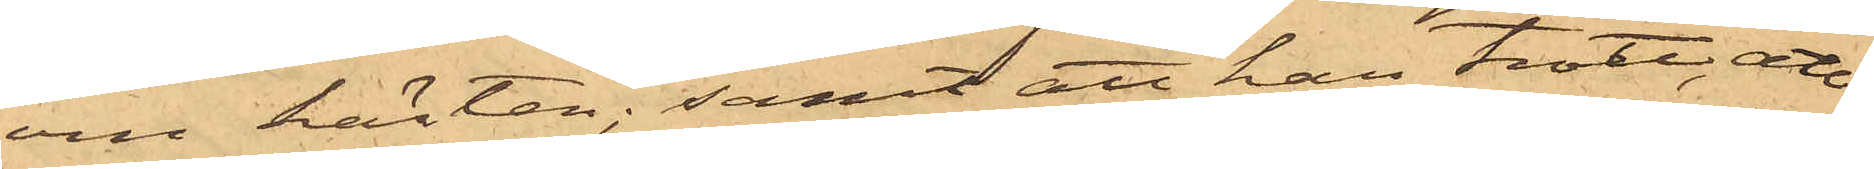om hästen; samt att han trott, att
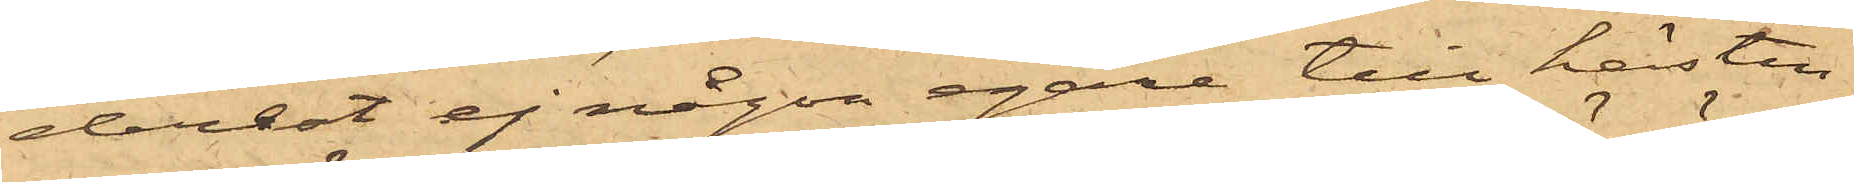derest ej någon egare till hästen
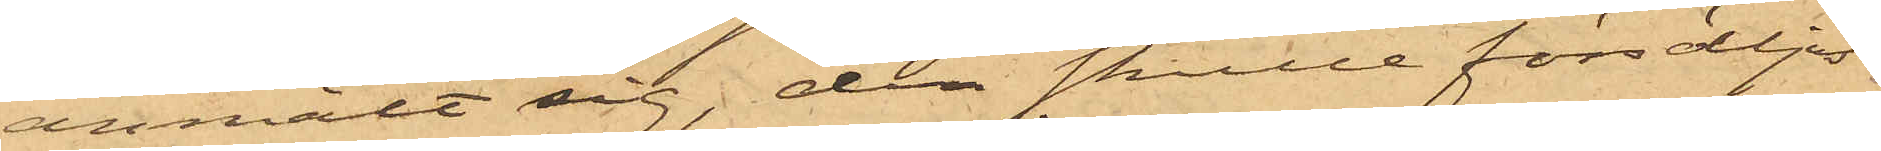anmält sig; den skulle försäljas
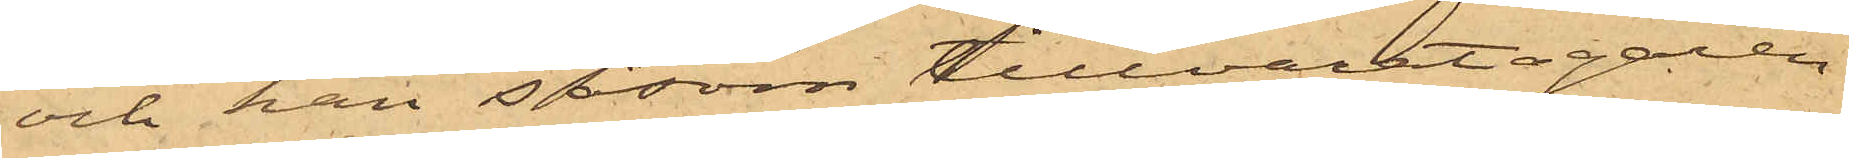och han såsom tillvaratagaren
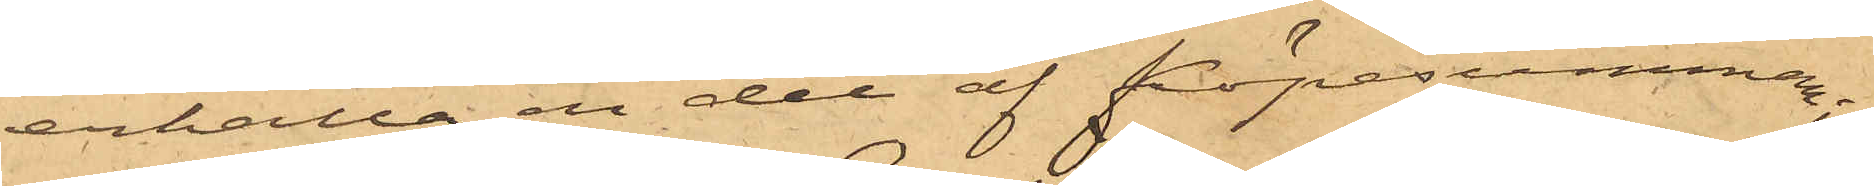erhålla en del af köpesumman;
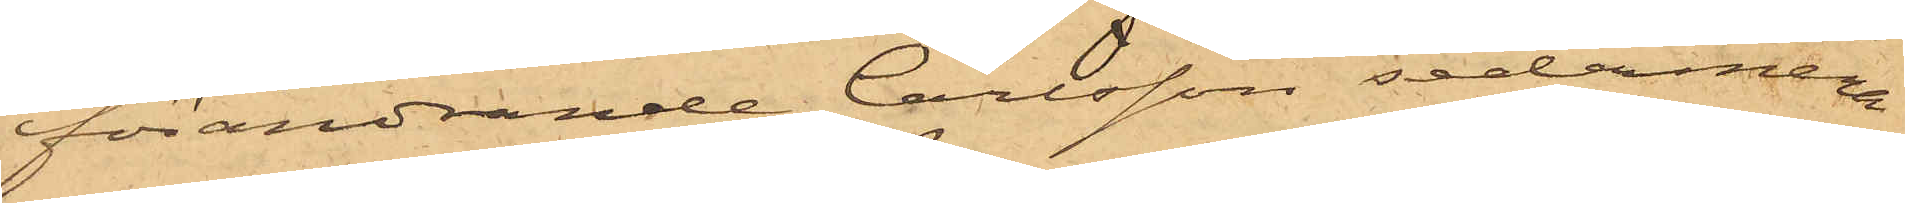förändrande Carlsson sedermera
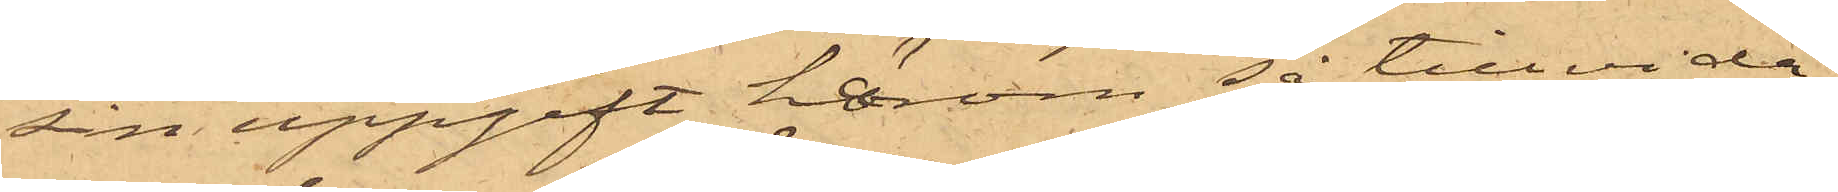sin uppgift härom så till vida,
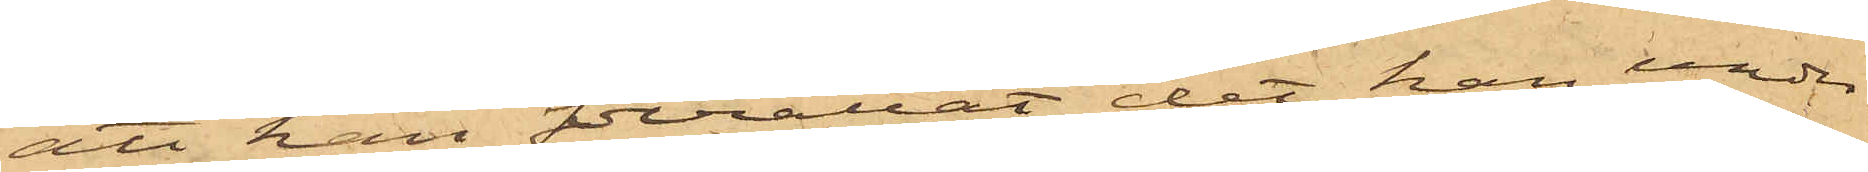att han berättat, det han under
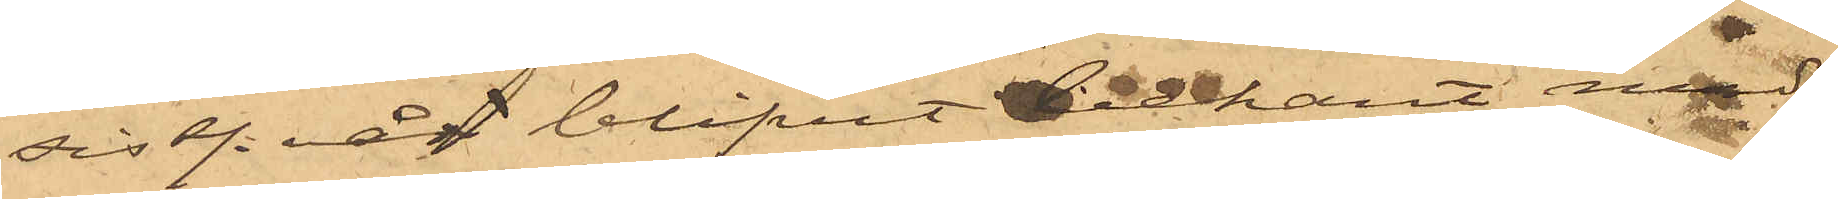sistl. år blifvit bekant med
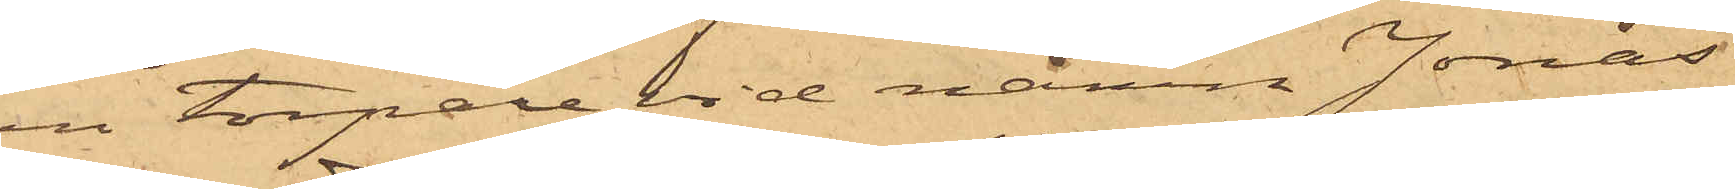en torpare vid namn Jonas
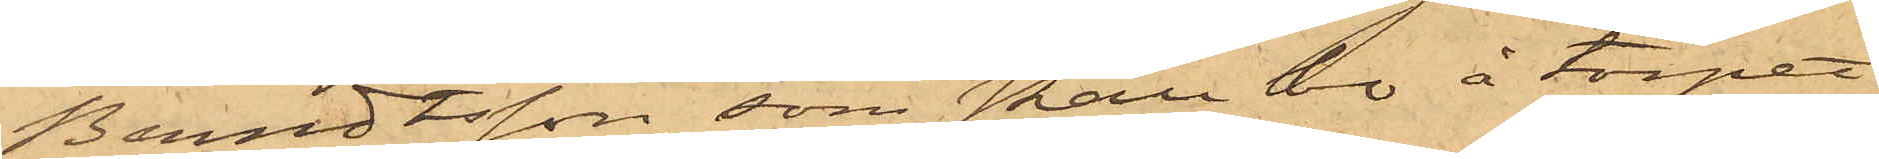Berndtsson, som skall bo å torpet
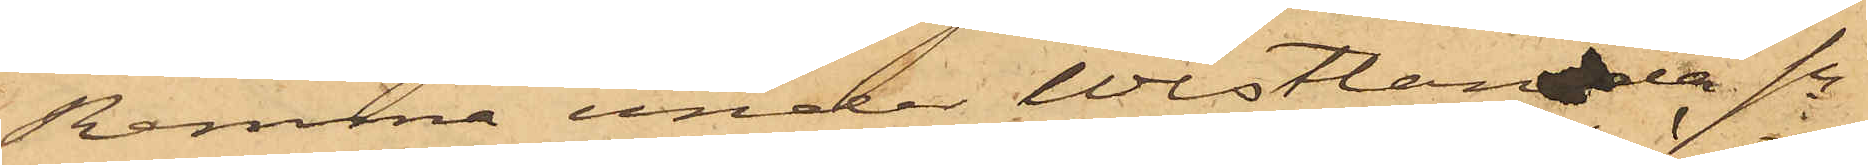Remma under Westlanda Sn
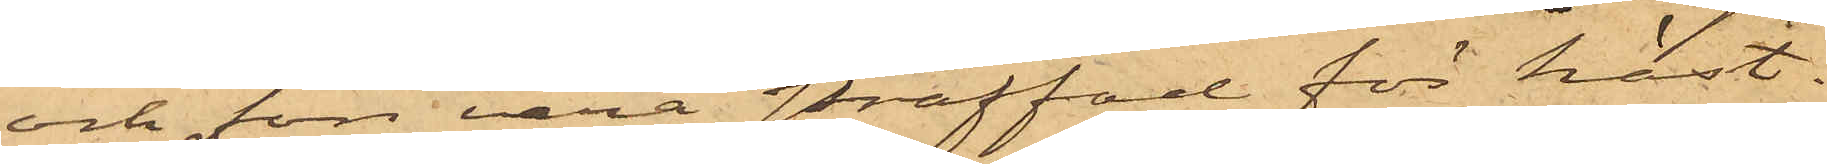och förr vara straffad för häst¬
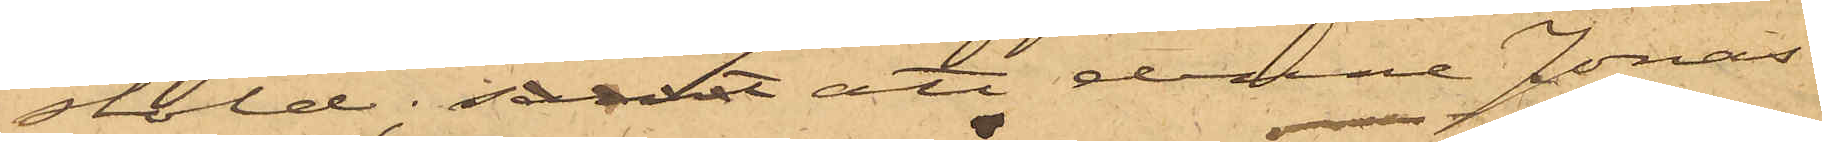stöld; samt att denne Jonas
